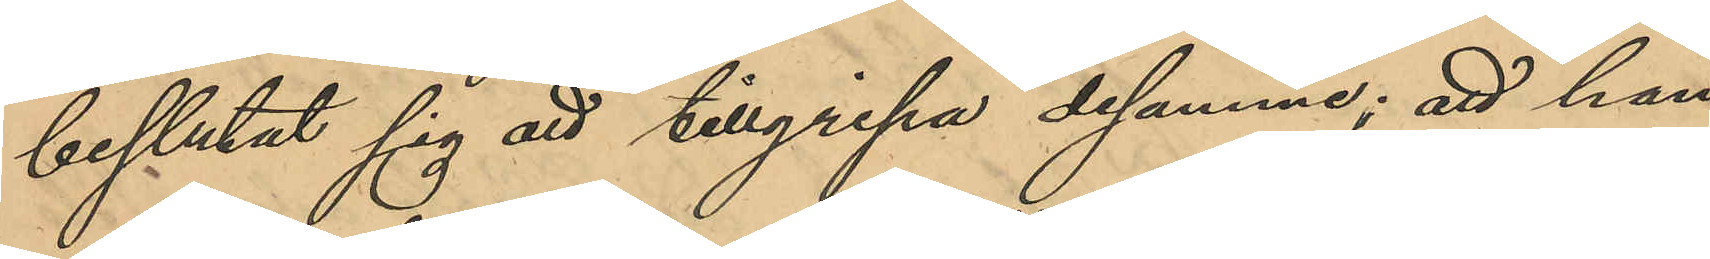beslutat sig att tillgripa desamme; att han
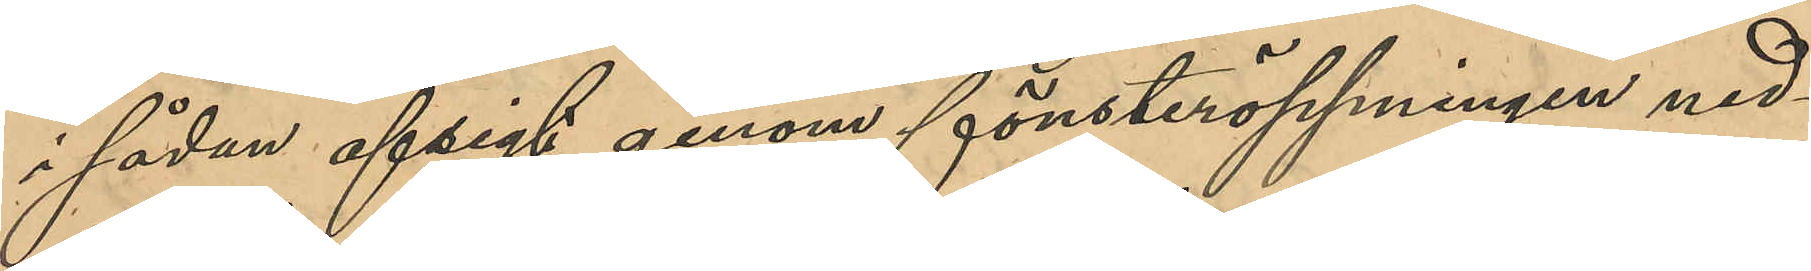i sådan afsigt genom fönsteröppningen ned¬
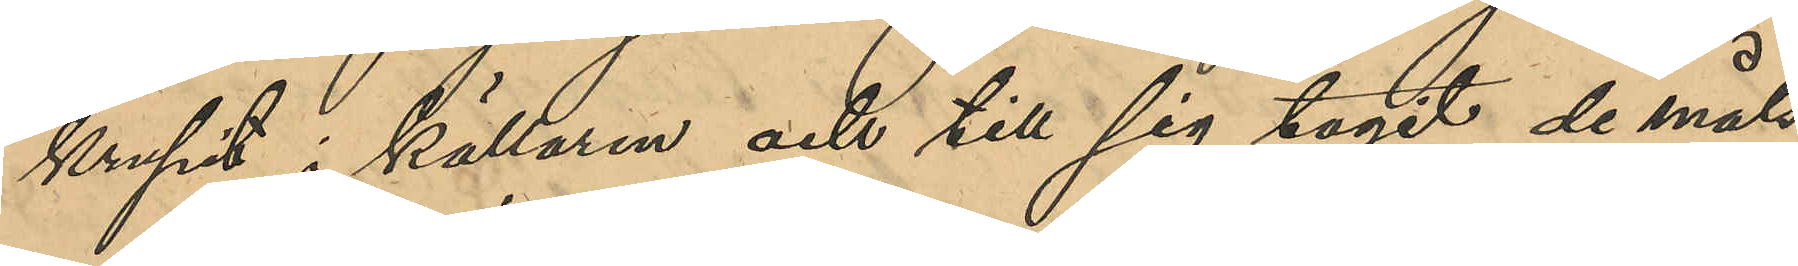krupit i källaren och till sig tagit de måls¬
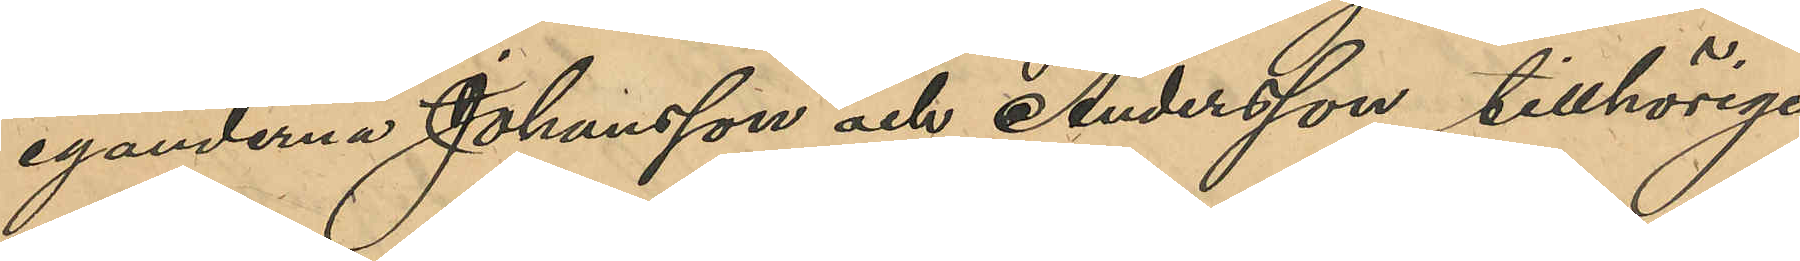eganderna Johansson och Andersson tillhöriga
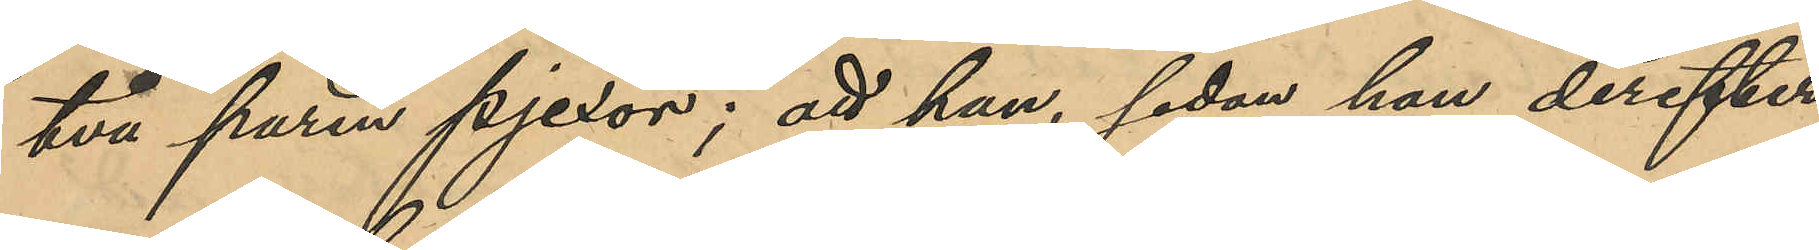två paren pjexor; att han, sedan han derefter
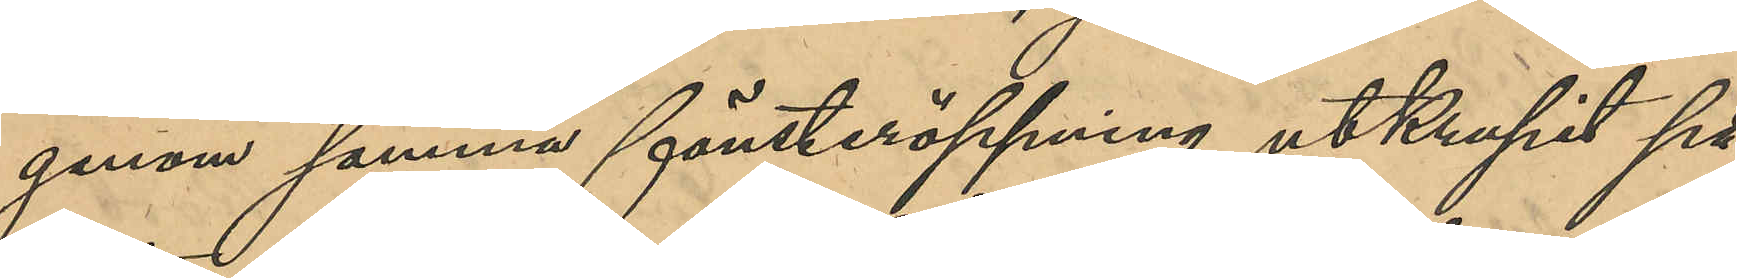genom samma fönsteröppning utkrupit på
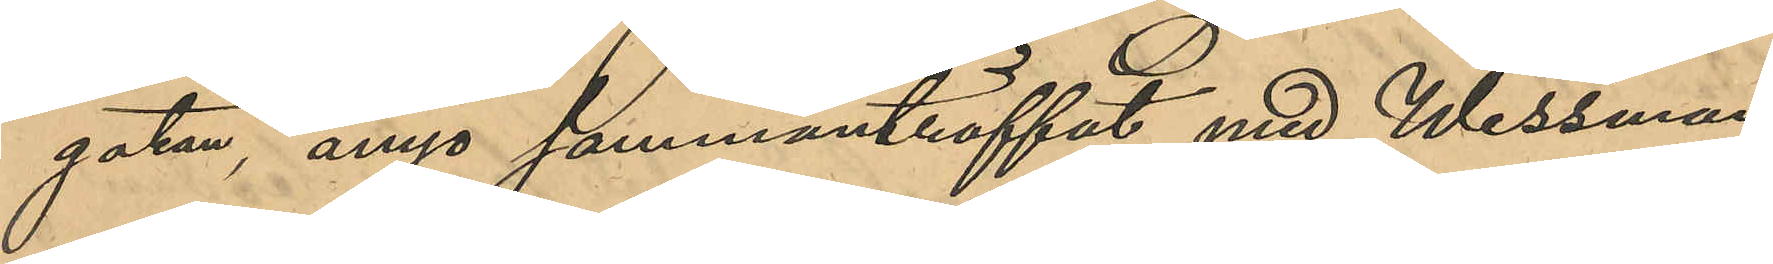gatan, ånyo sammanträffat med Wessman
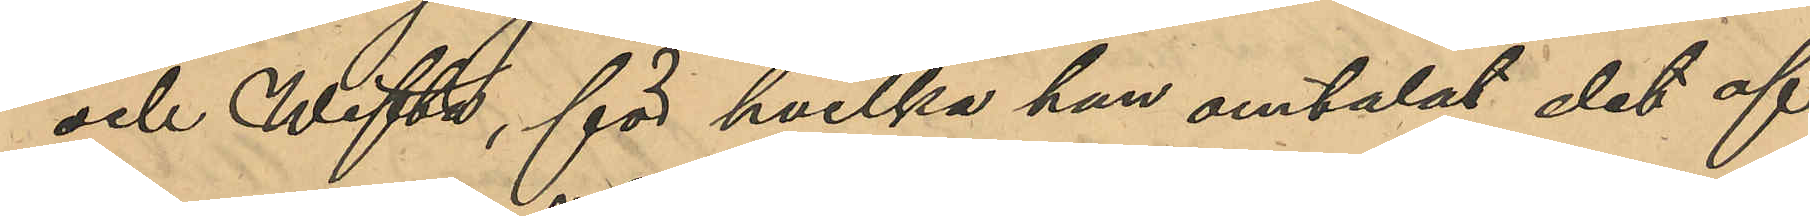och Wifta, för hvilka han omtalat det af
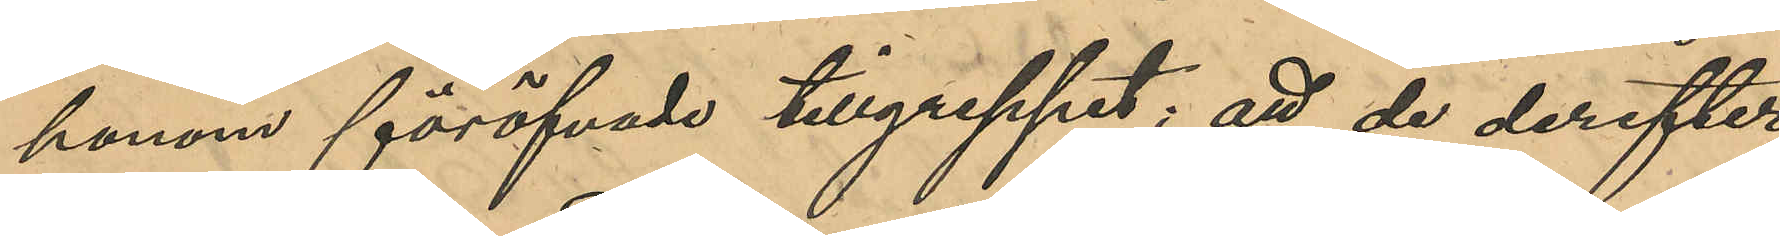honom föröfvade tillgreppet; att de derefter
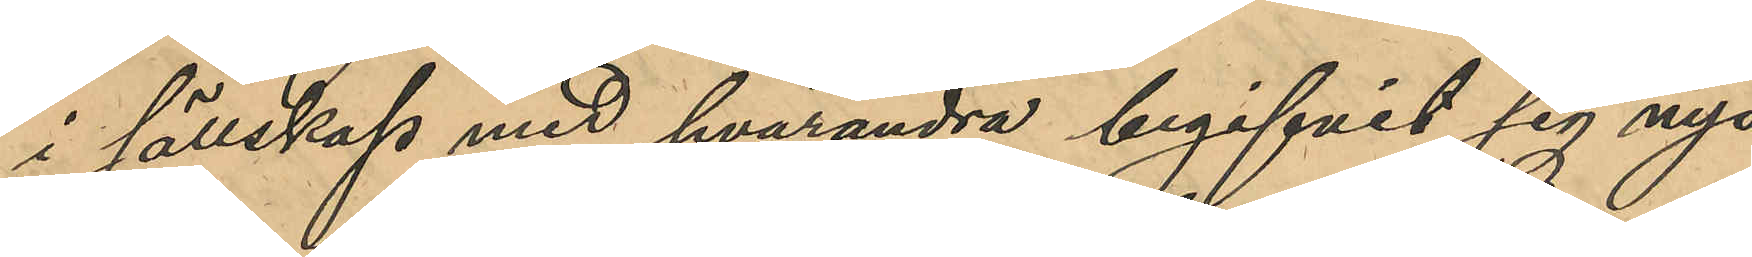i sällskap med hvarandra begifvit sig nya
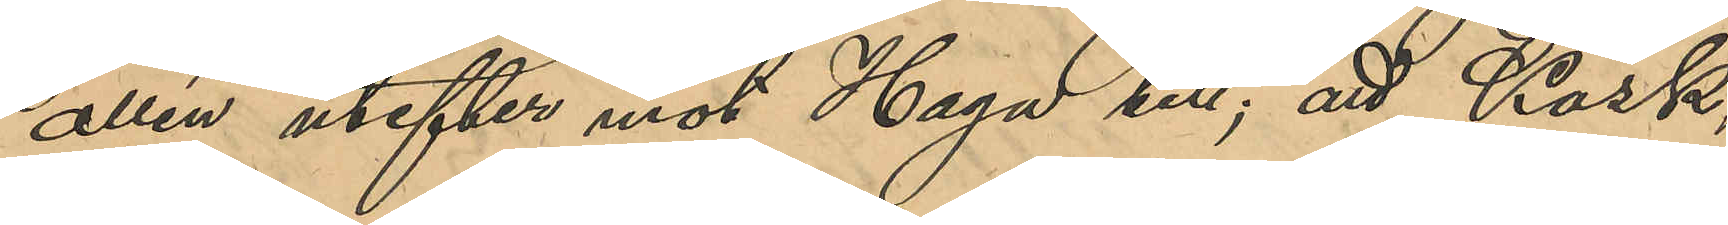allén utefter mot Haga till; att Kask,
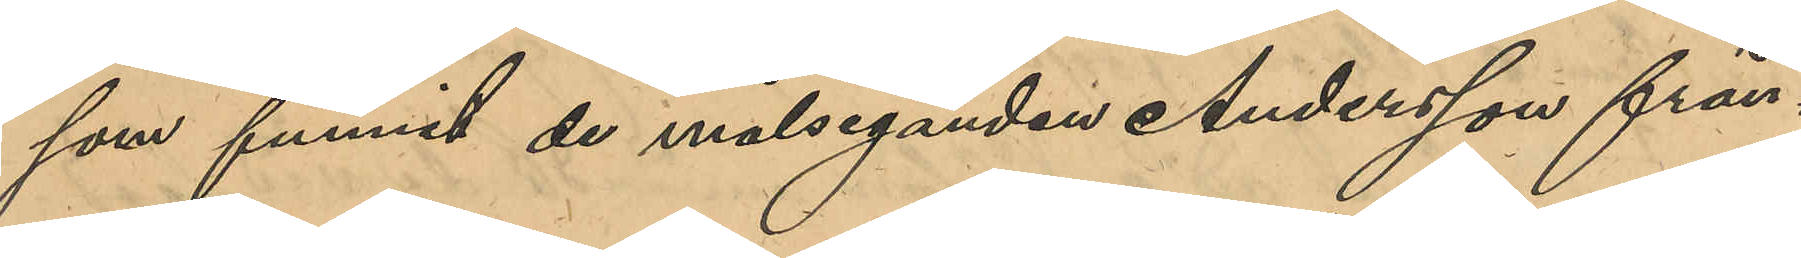som funnit de målseganden Anderssons från¬
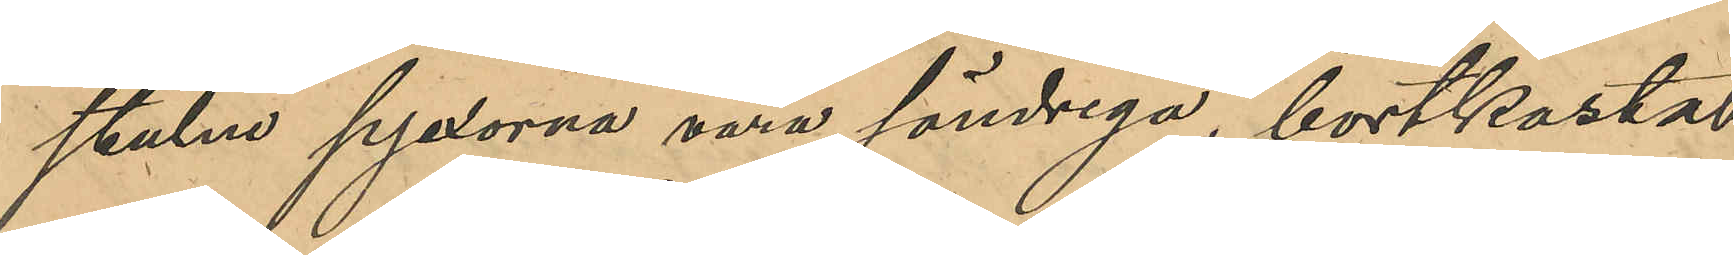stulne pjexorna vara söndriga, bortkasta
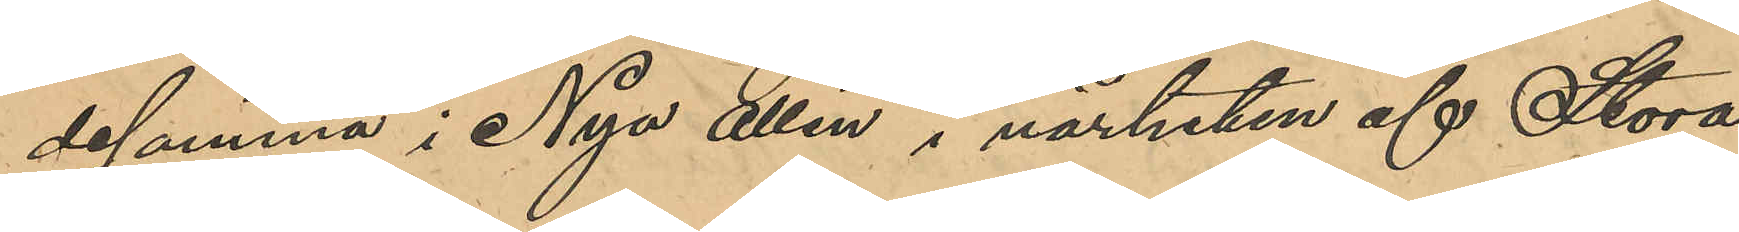desamma i Nya allén i närheten af Stora
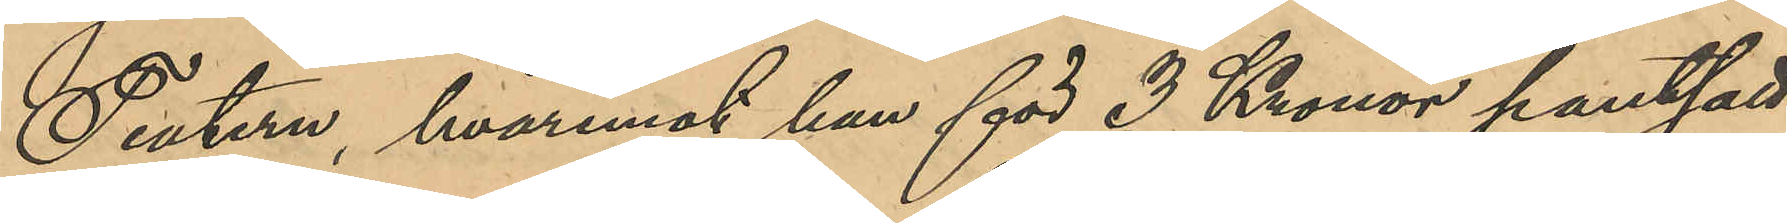Teatern, hvaremot han för 3 Kronor pantsatt
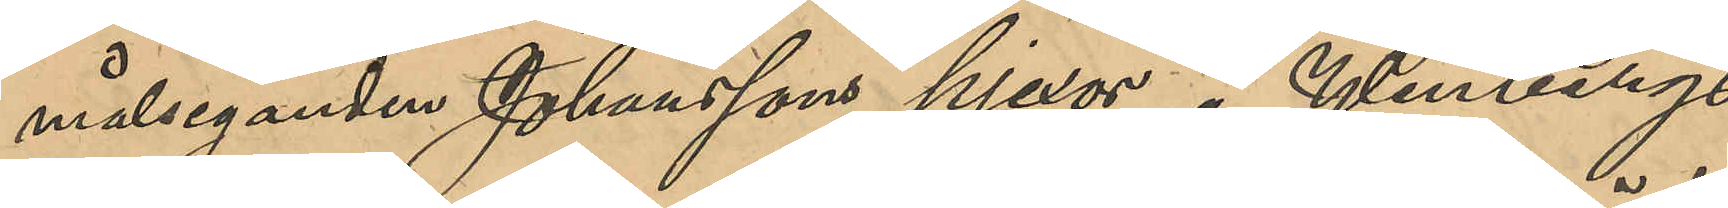målseganden Johanssons pjexor å Winbergs
